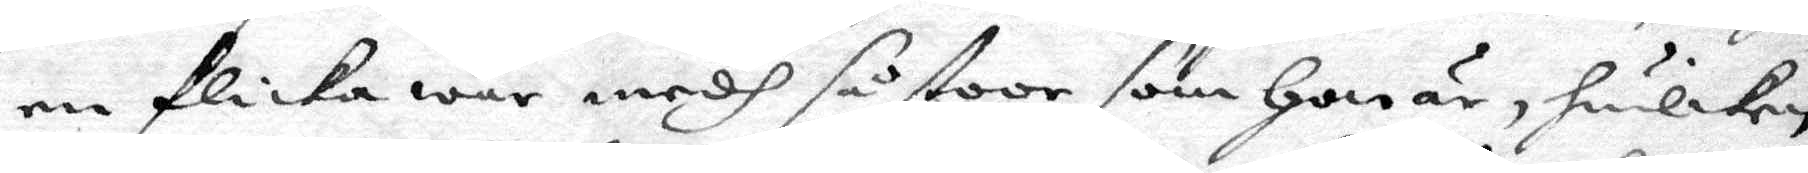en flicka war medh så stoor som hon är, hwilken
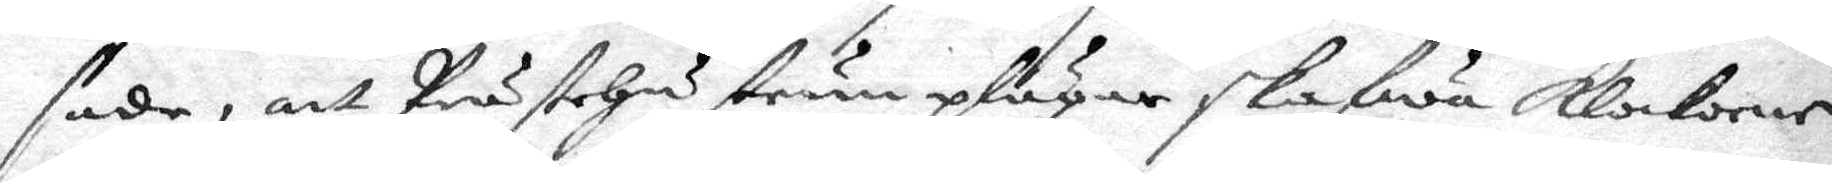sade, att prästehustrun plägar skafwa klockorne
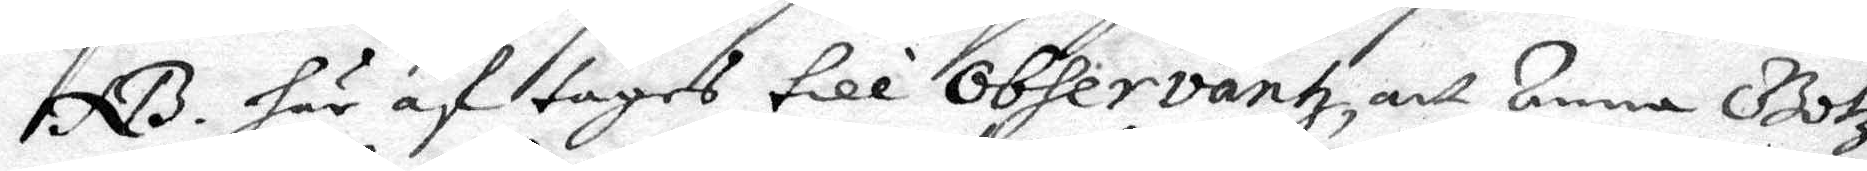NB: här af tagas till observantz, att denna Gotz¬
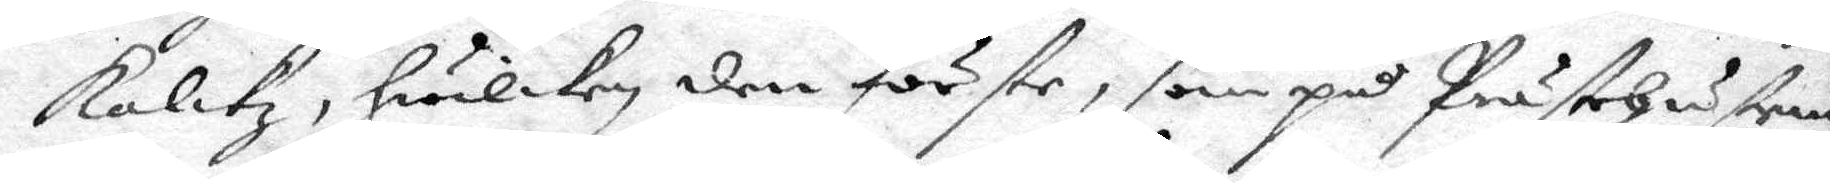skalkz, hwilken den förste, som på prästehustrun
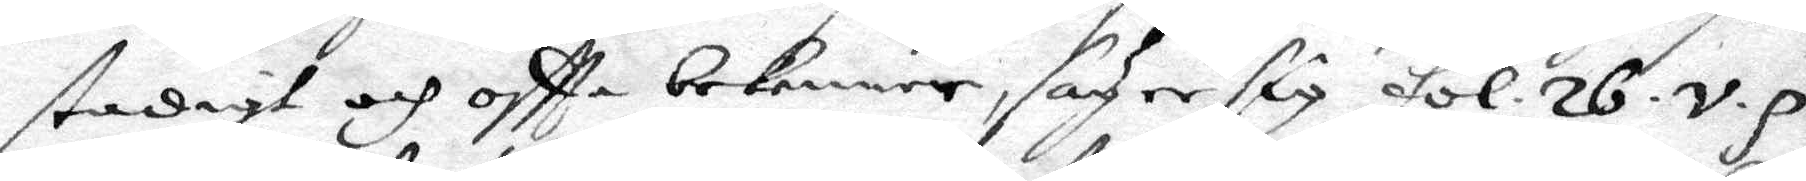stadigt och oftta bekenner, sadze sig fol. 26.v.p.
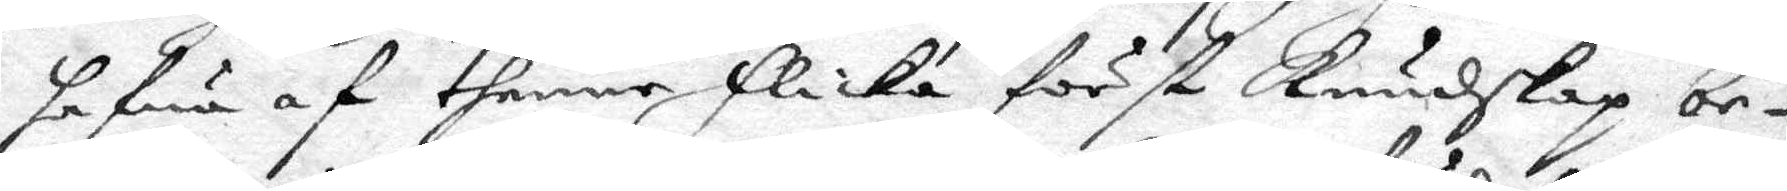hafwa af thenne flicka först kundskap be¬
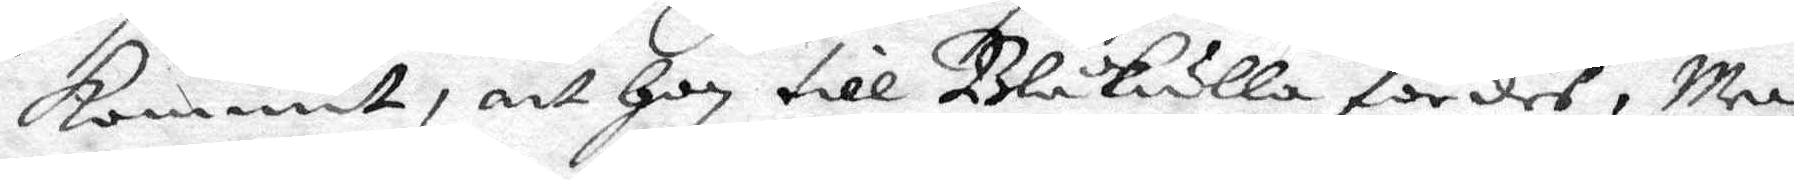kommit, att hon till Blåkulla fördes. men
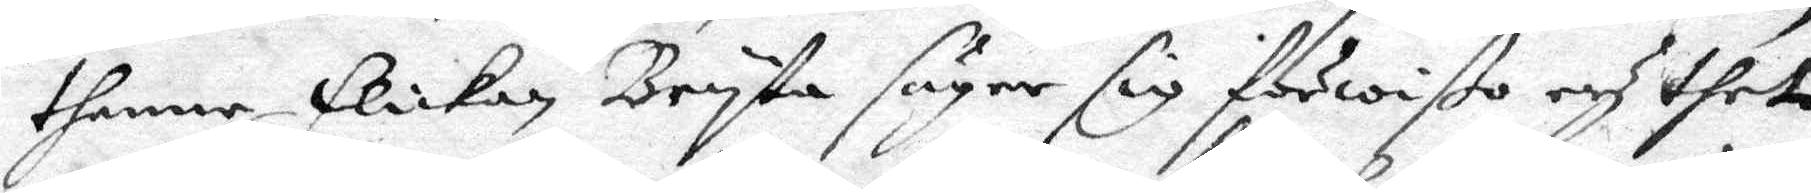thenne flickan Bryta säger sig förwißo och thet
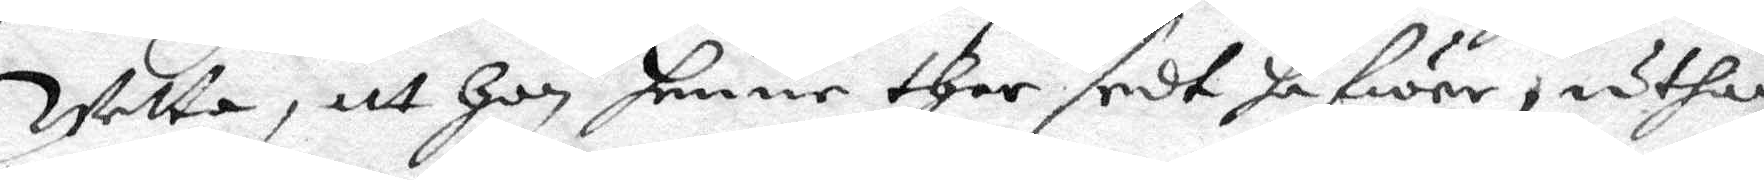wetta, att hon henne ther sedt hafwer, uthan
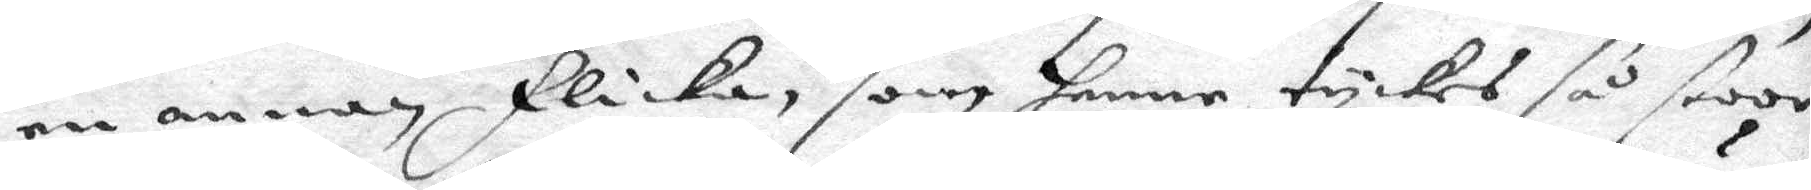en annan flicka, som henne tyckes så stoor
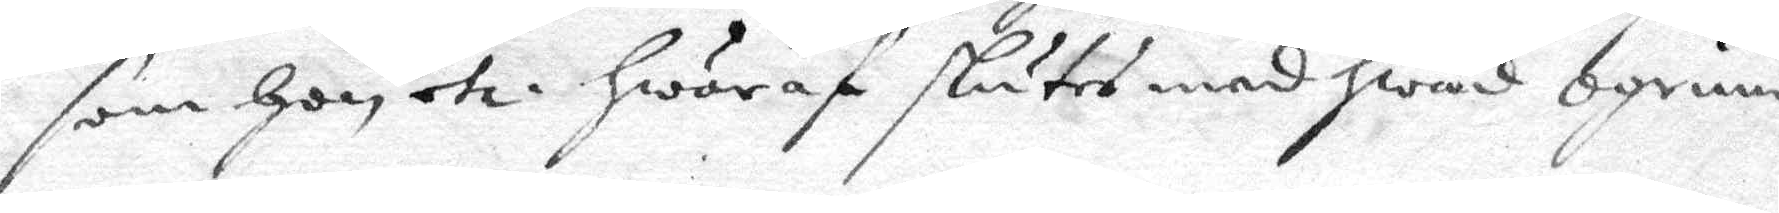som hon och hwaraf slutet med hwad ogrund
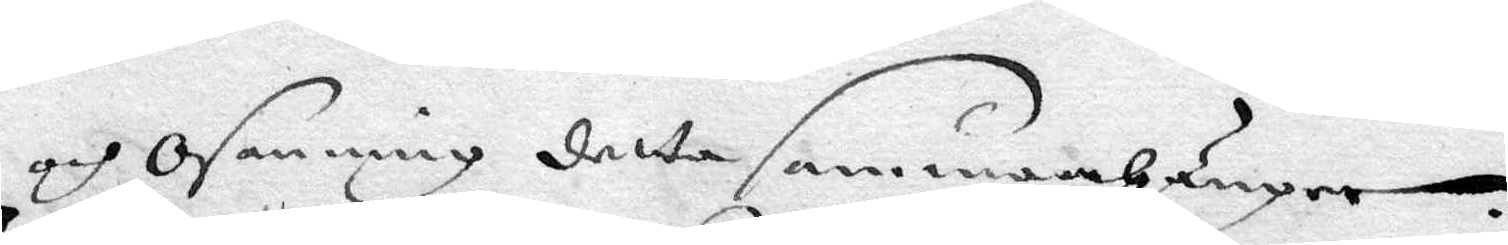och osanning detta sammanhampne.
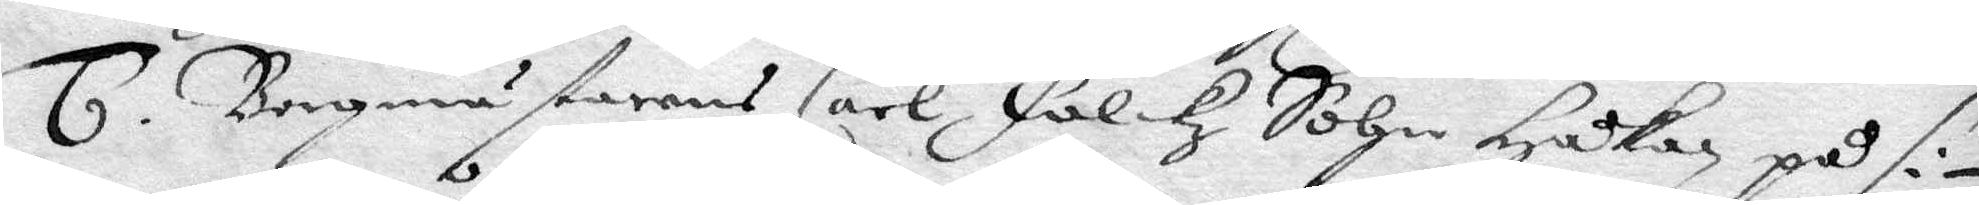6. Borgmästarens Carl Falkz Sohn Håkan på si¬
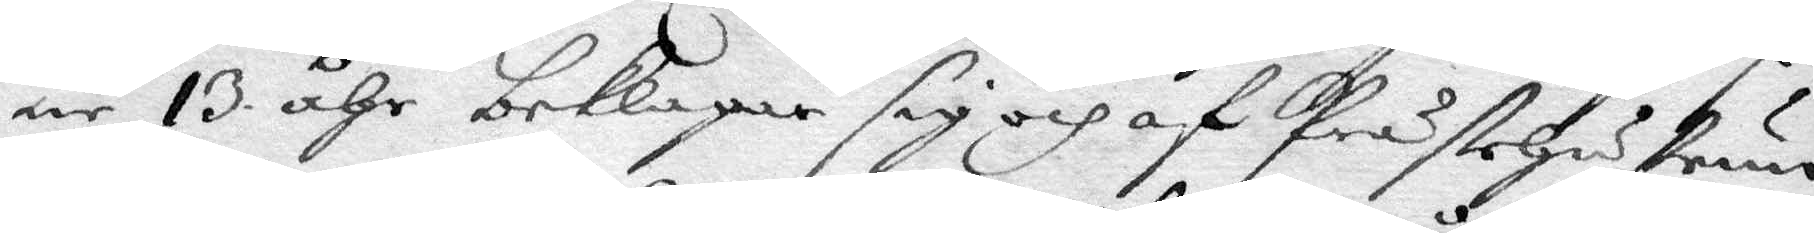ne 13 åhr beklagar sig och af Prästehustrun
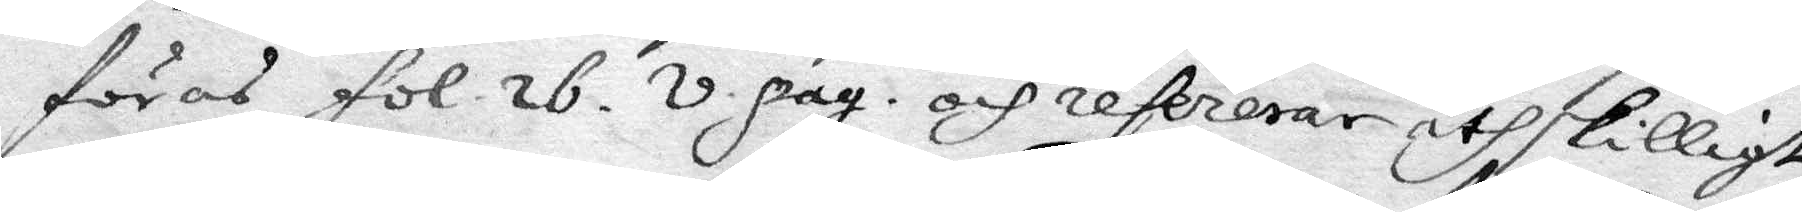föras fol. 26. v. pag. och refererar åthskilligt
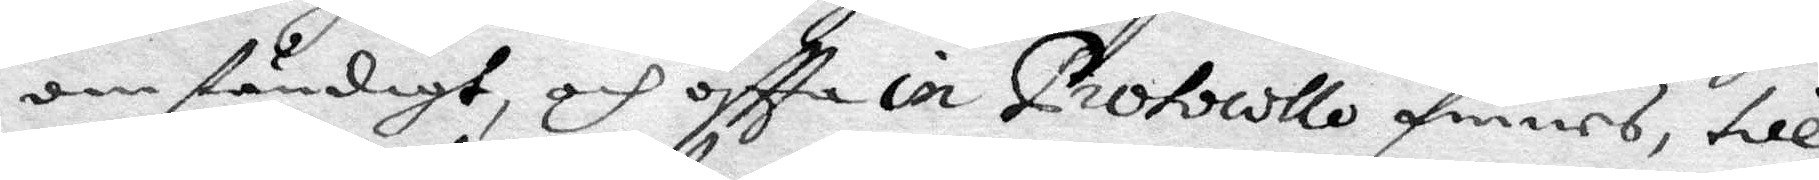omständigt, och oftta in protocollo finnes, till
